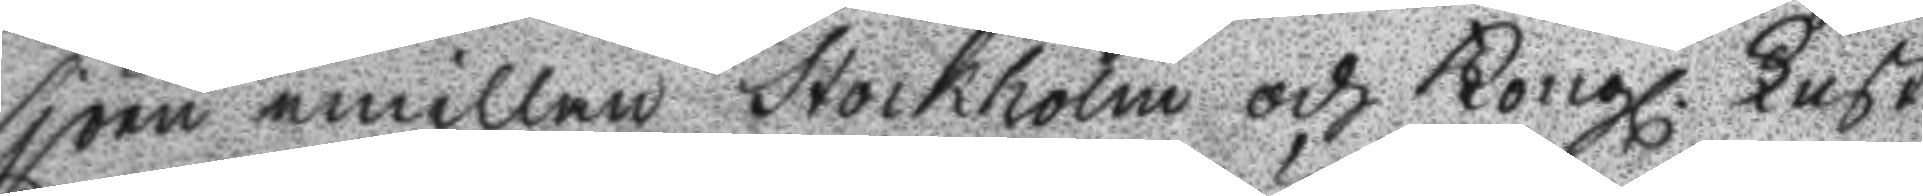sjöen emillan Stockholm och Kongl. Lust
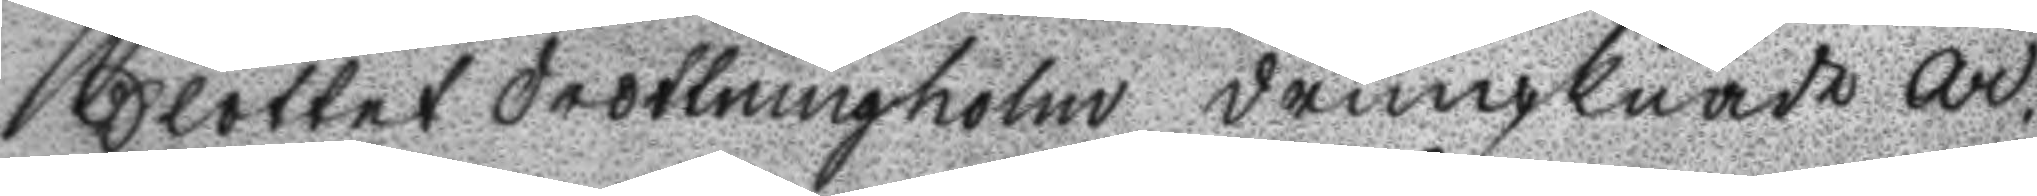Slottet Drottningholm drunknade Ar¬
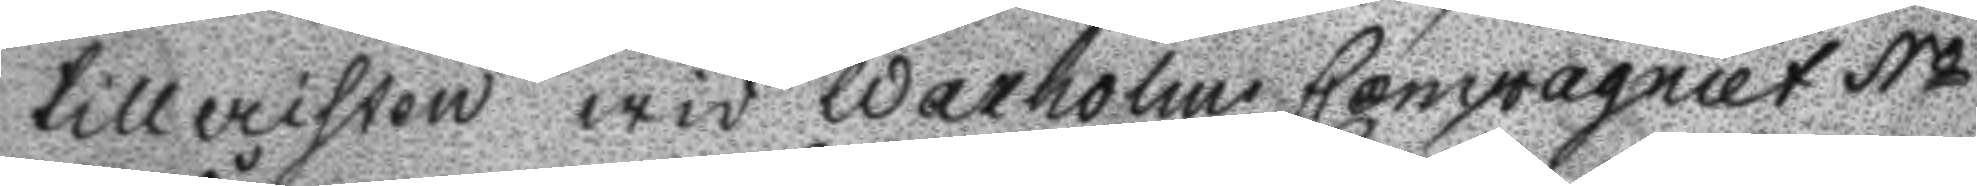tilleristen wid Waxholms Compagniet No
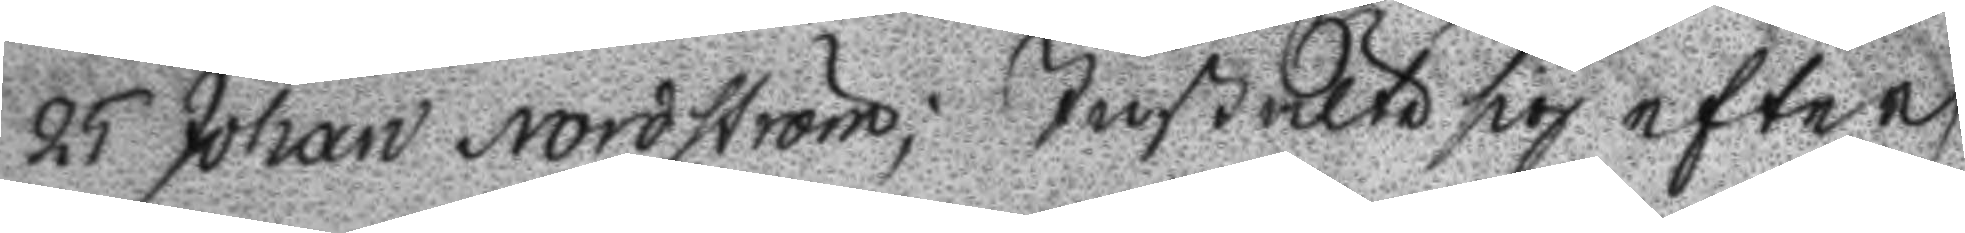25 Johan Nordström; Instälte sig efter
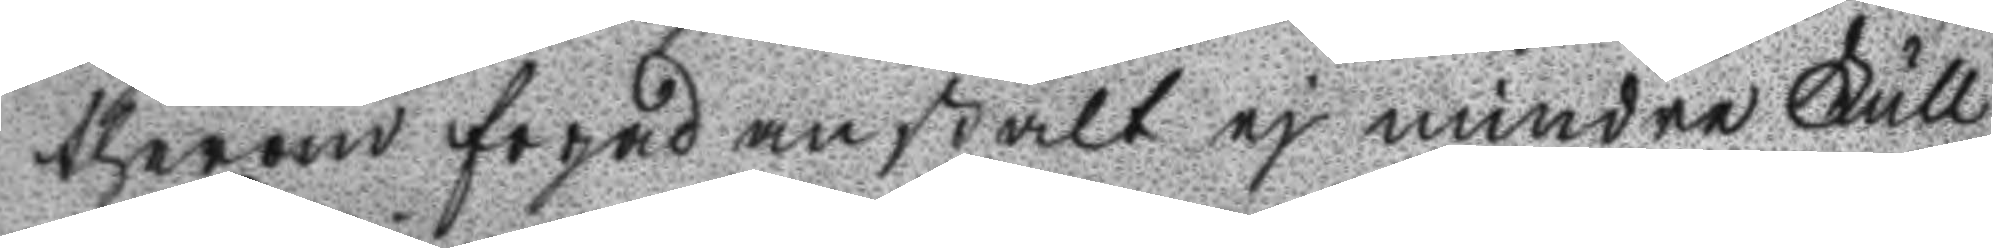therom fogad anstalt ej mindre Full
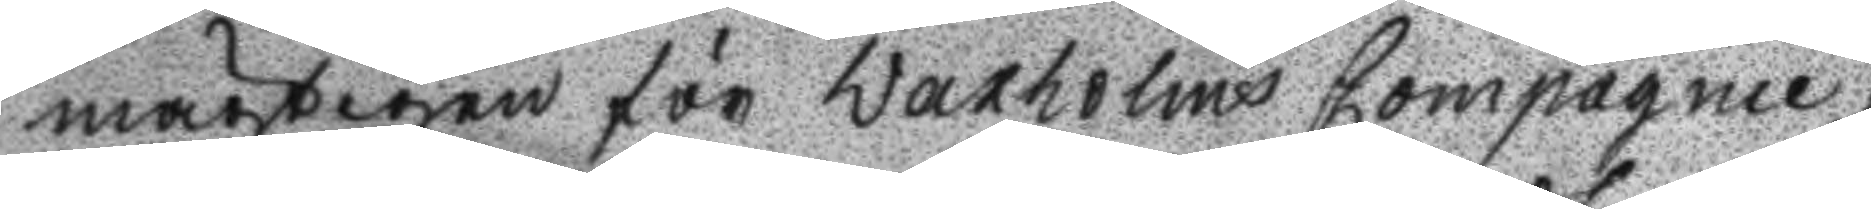mägtigen för Waxholms Compagnie,
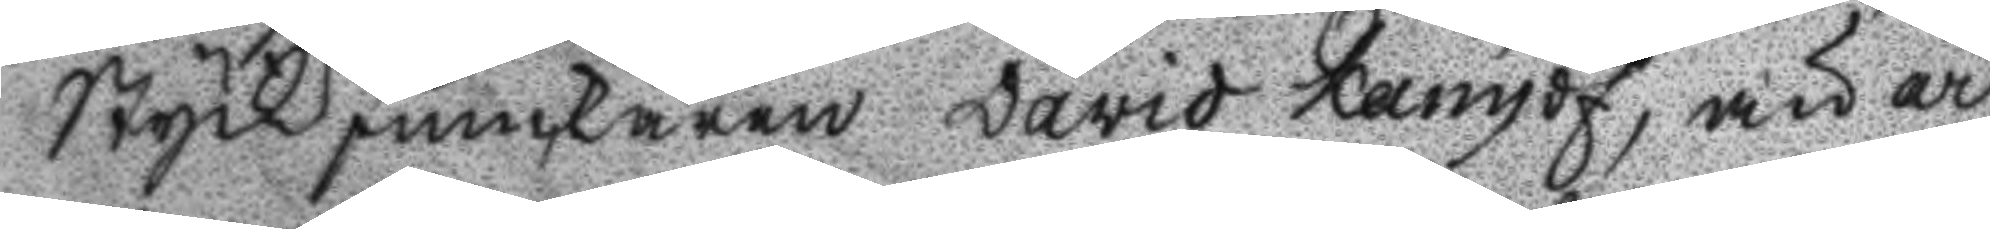StyckJunckaren David Kamdf, än ar
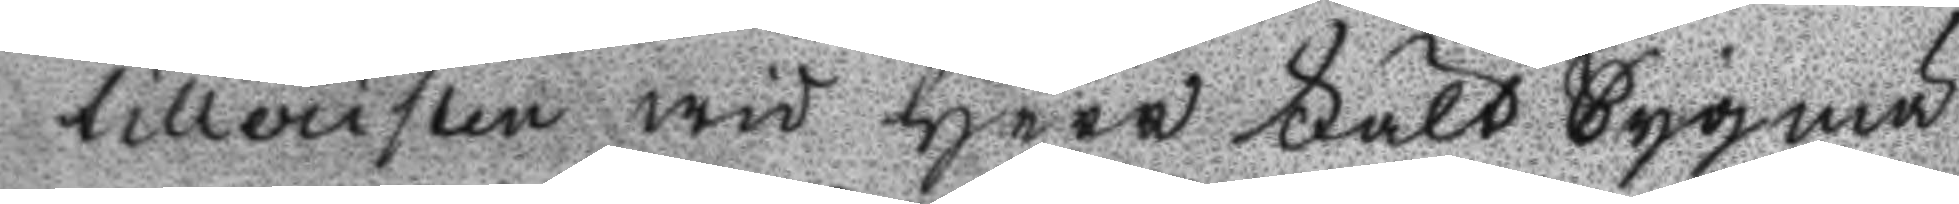tilleristen wid Herr Fält Tygmä
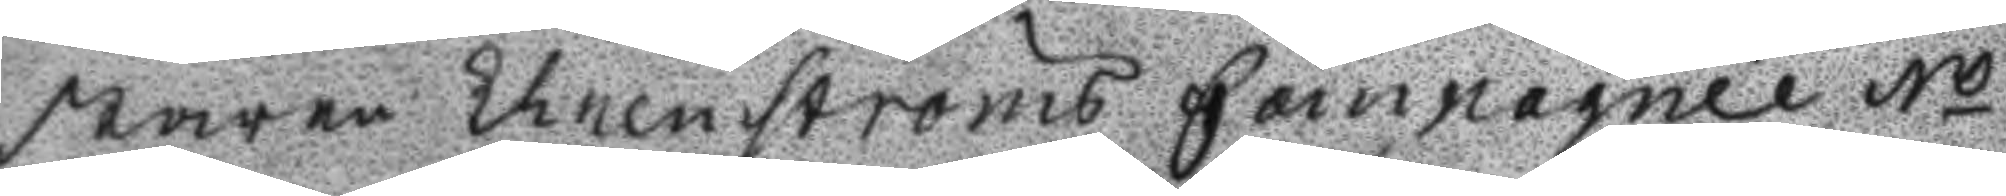staren Ehrenströms Compagnie No
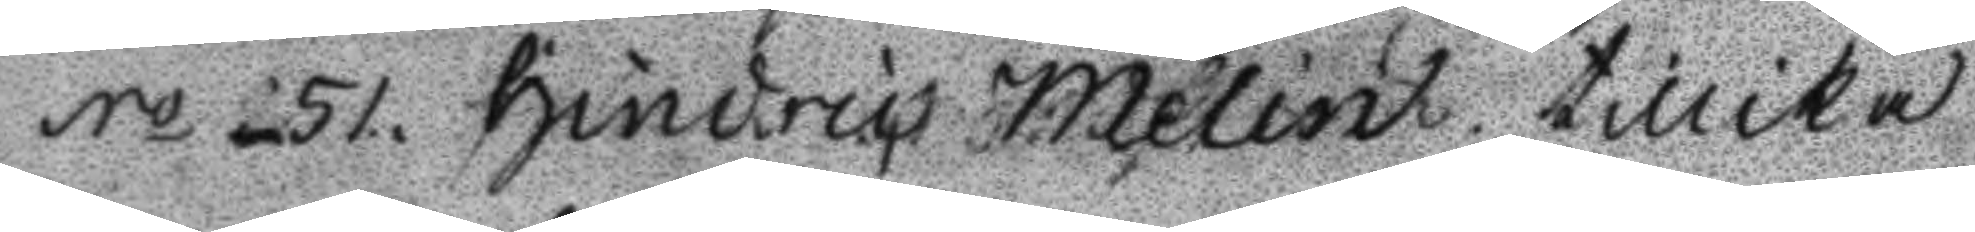No 51hindric Melin tillika
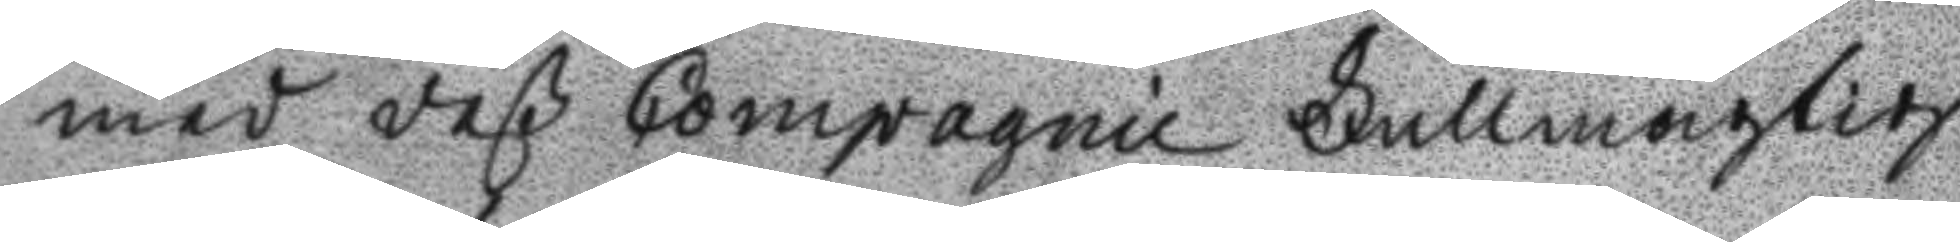med deß Compagnie Fullmägtig
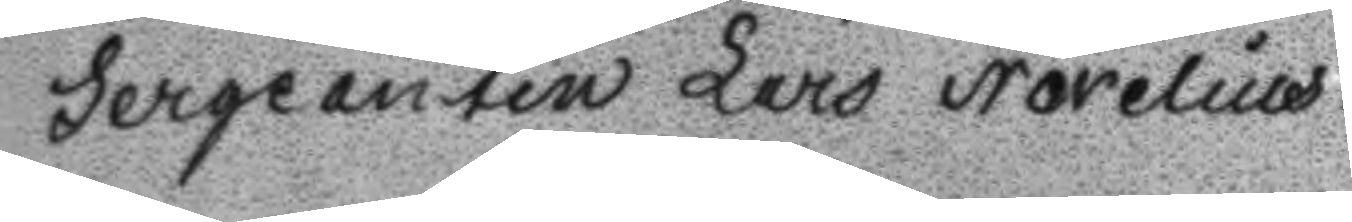Sergeanten Lars Norelius.
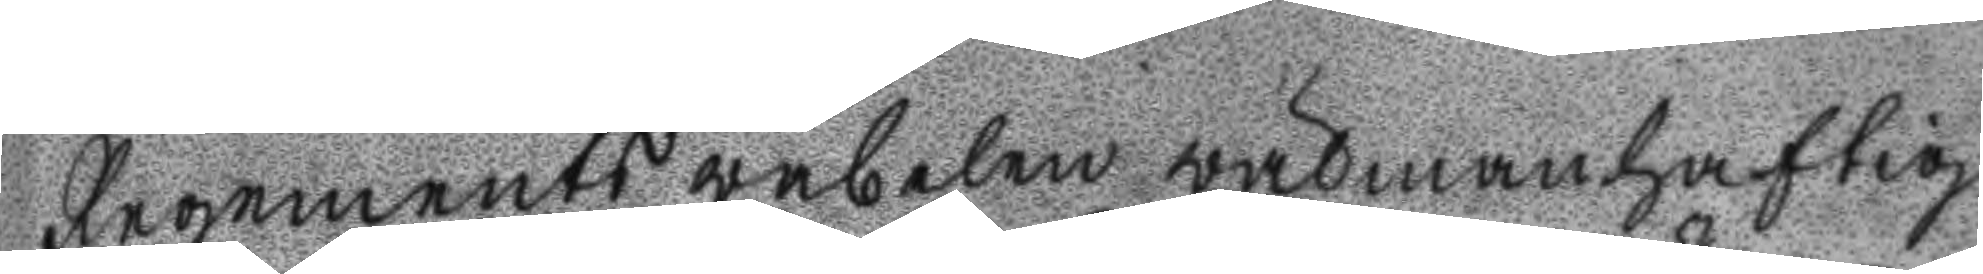regements wäbelen wälmanhaftig
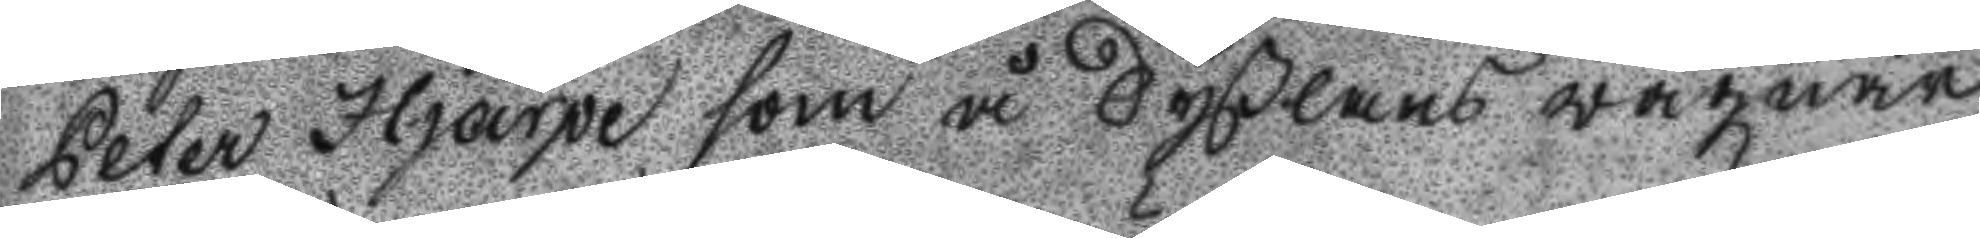Peter Hjärpe som å Syßlans wägnar
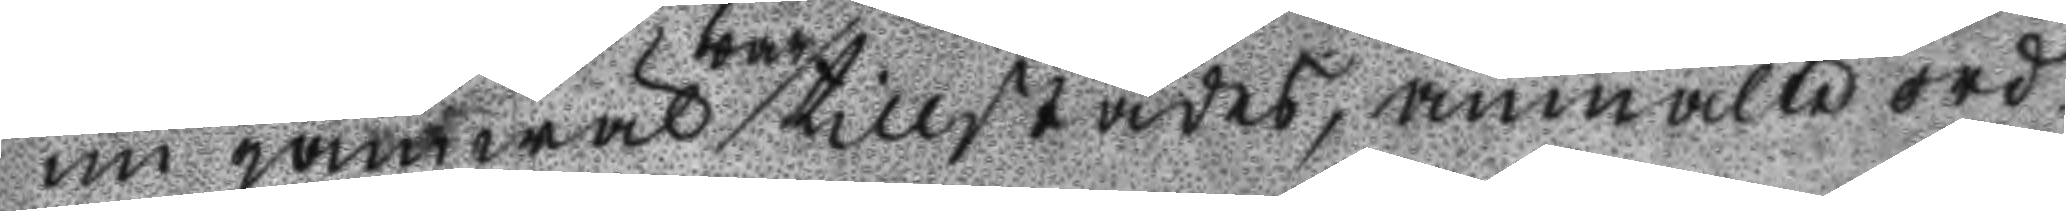nu jämwäl war tillstädes, anmälte ord¬
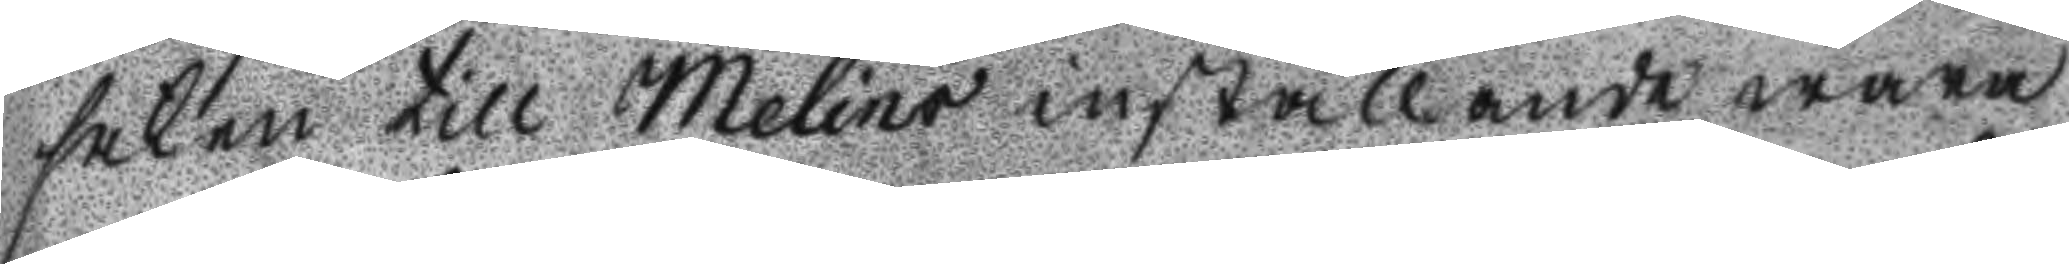saken till Melins inställande wara
